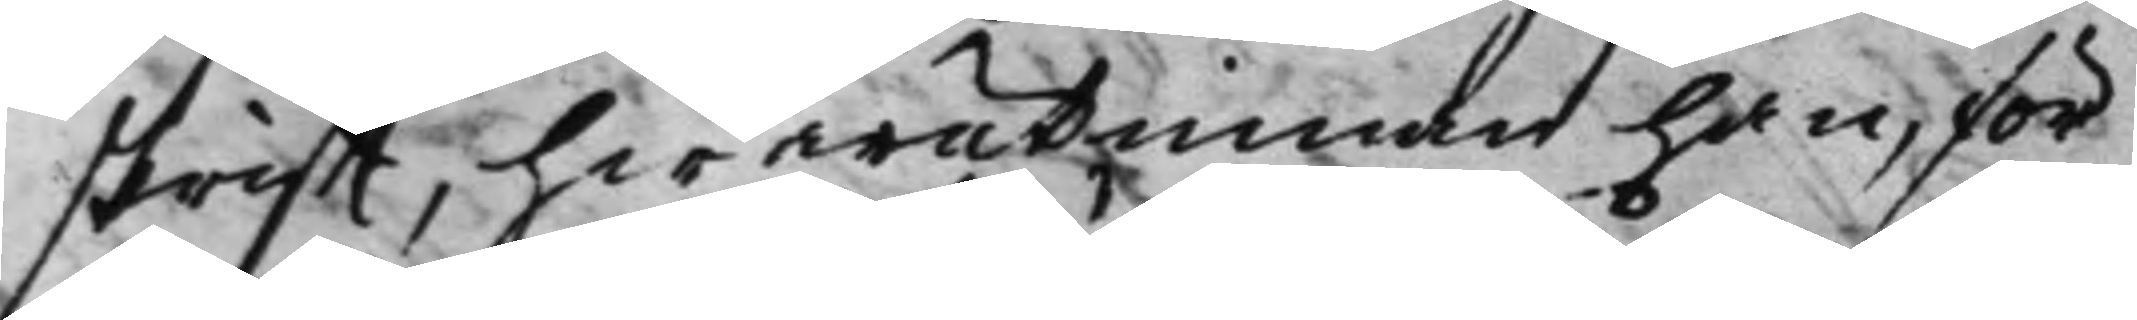skrifft, hwarutinnan han, för
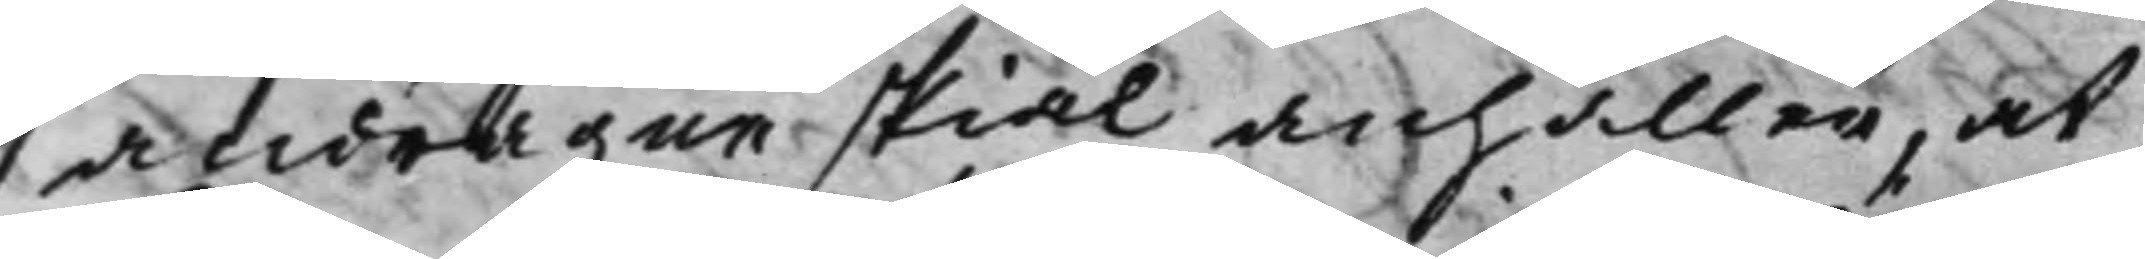andragne skiäl anhåller, at
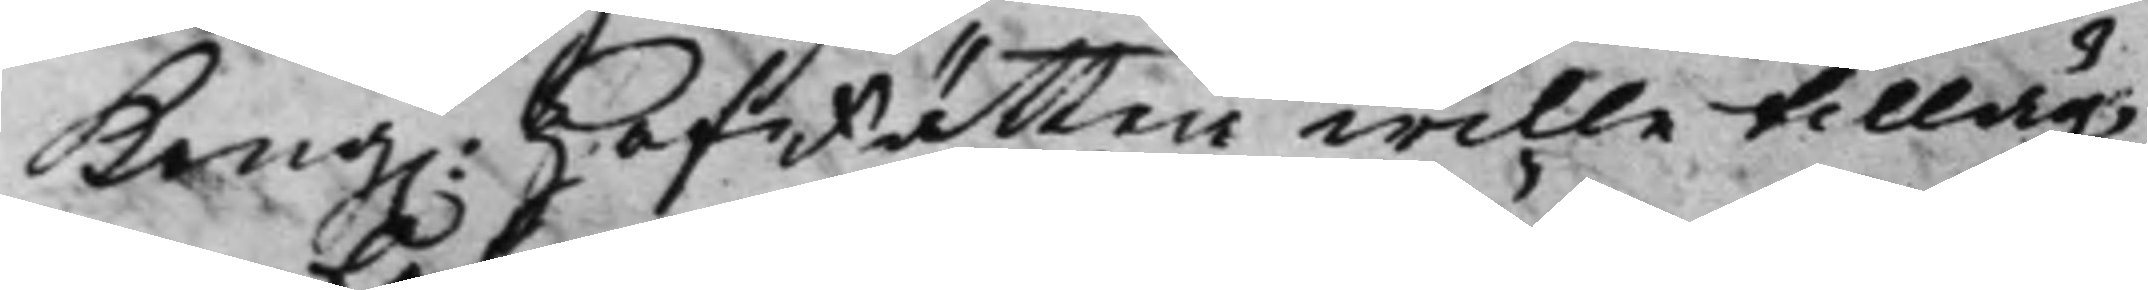Kong. HofRätten wille tilläg¬
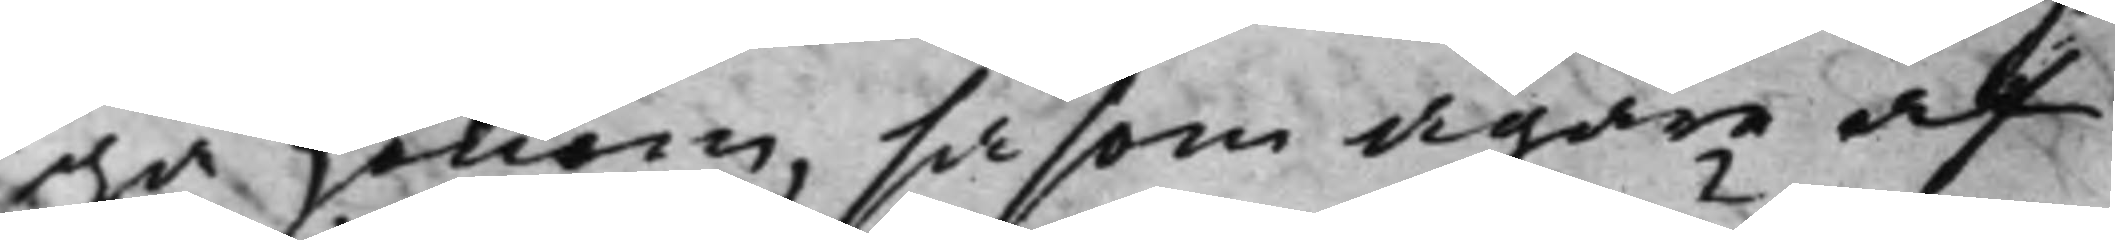ga honom, såsom ägare af
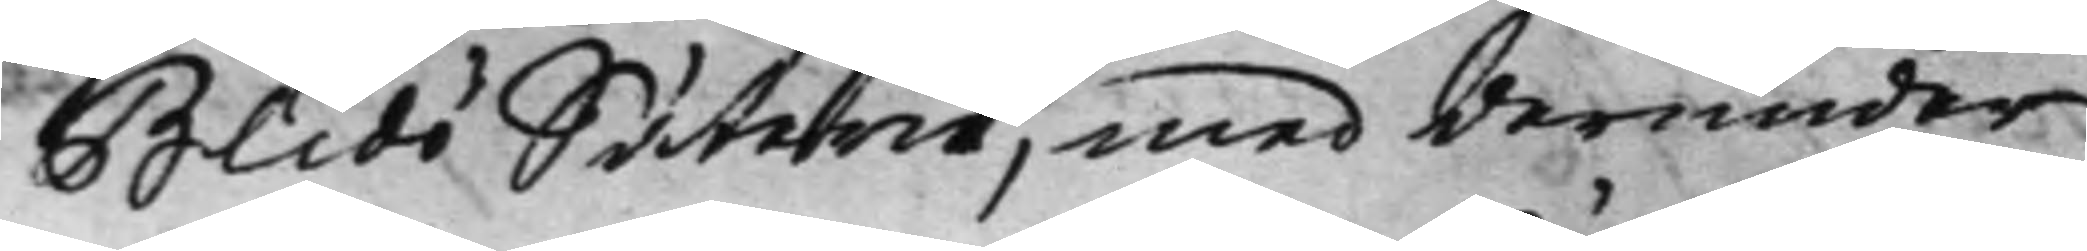Blidö Säterie, med derunder
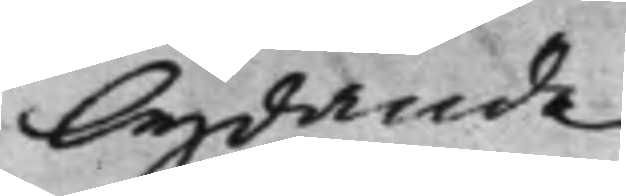lydande
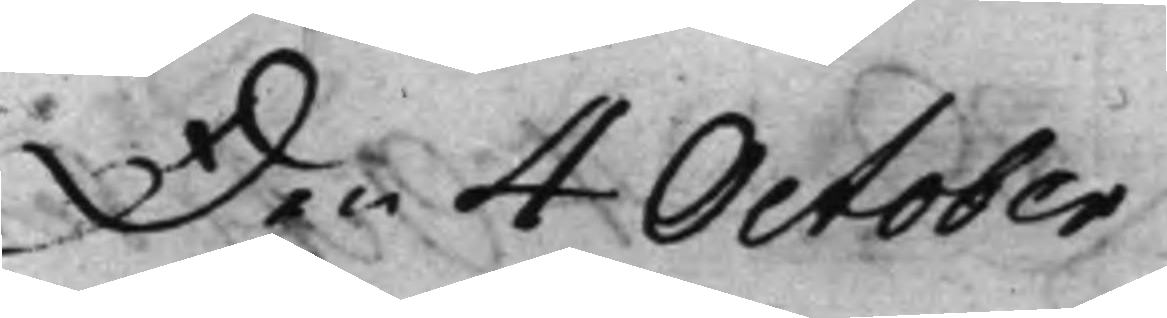Den 4 October
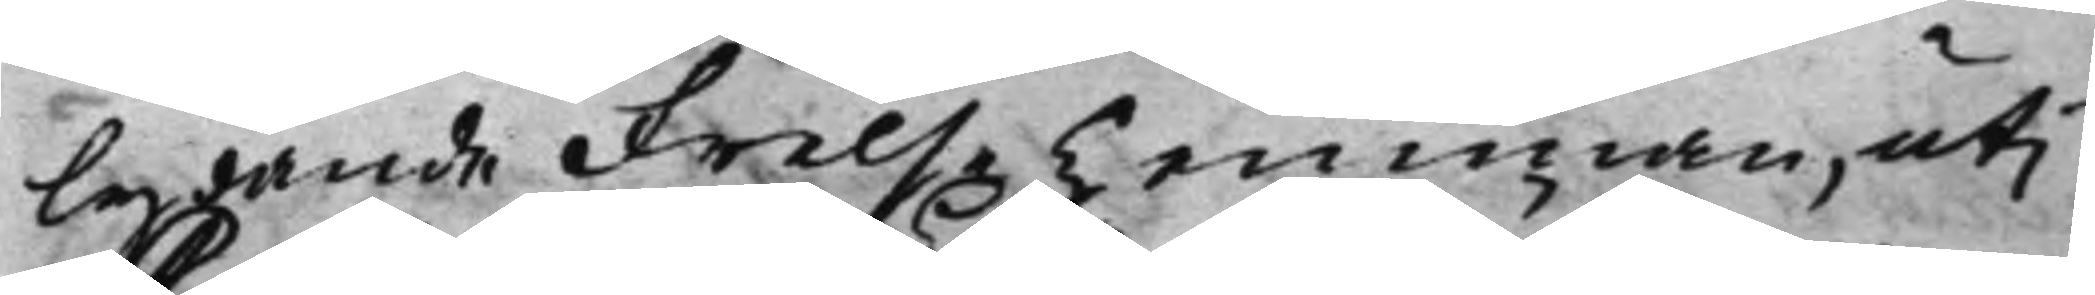lydande Frelse hemman, uti
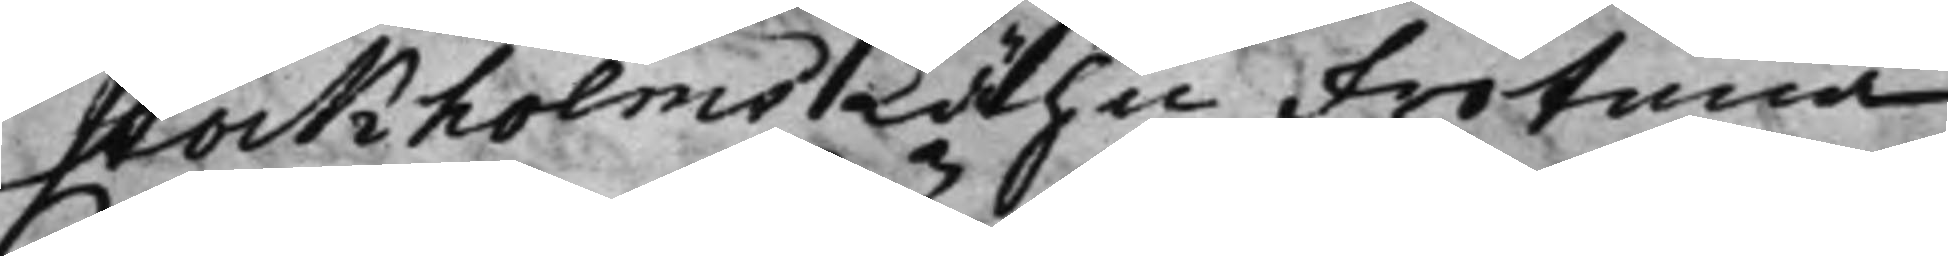Stockholms Lähn Frötuna
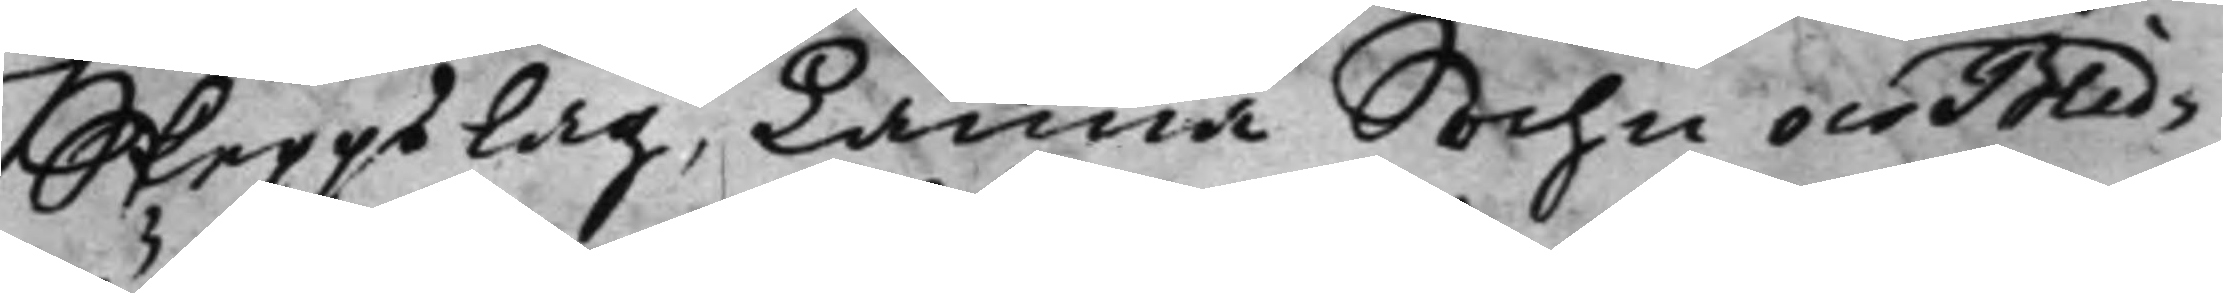Skeppslag, Länna Sochn och Blid¬
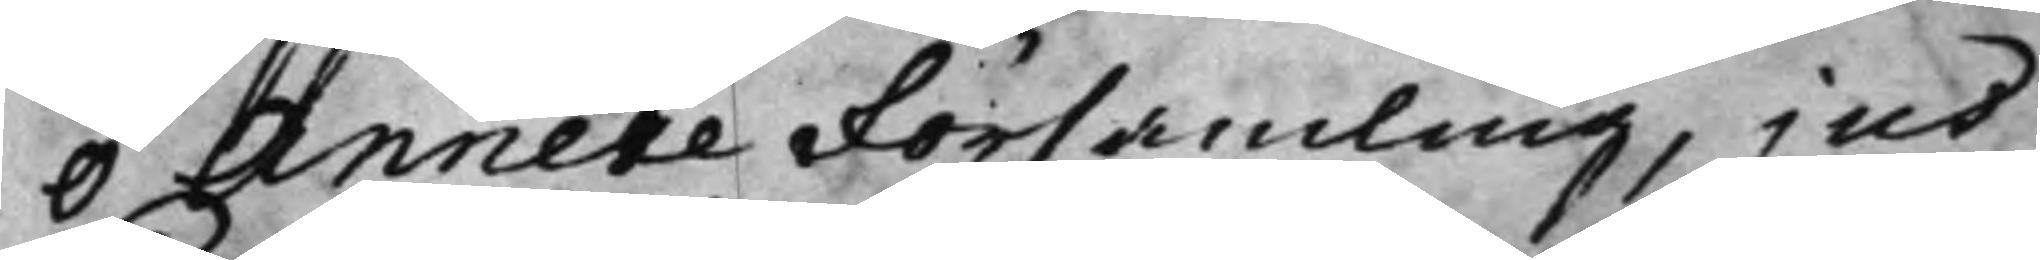ö Annexe Församling, jus
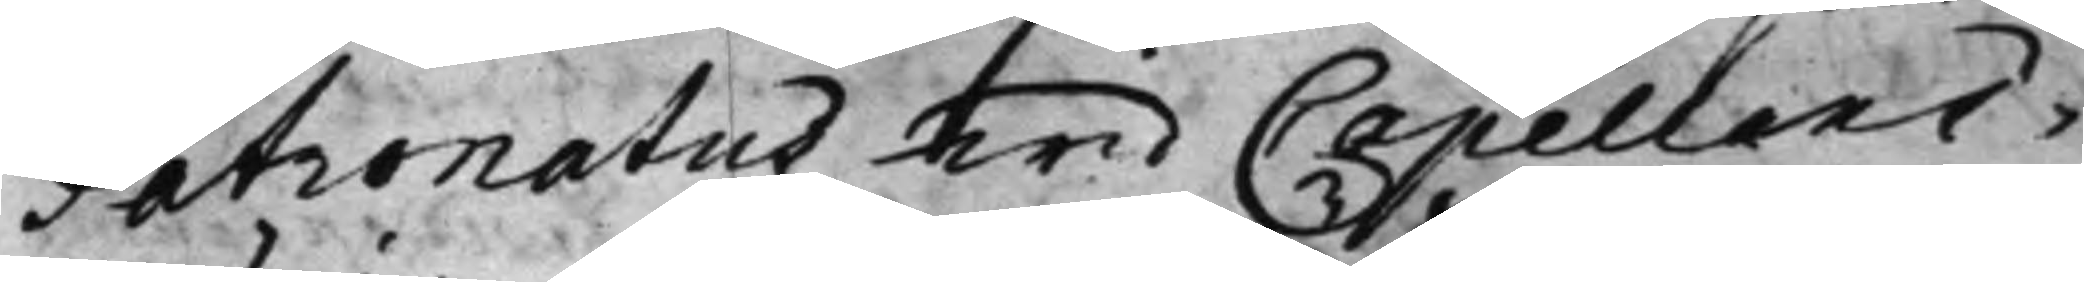Patronatus wid Capellani¬
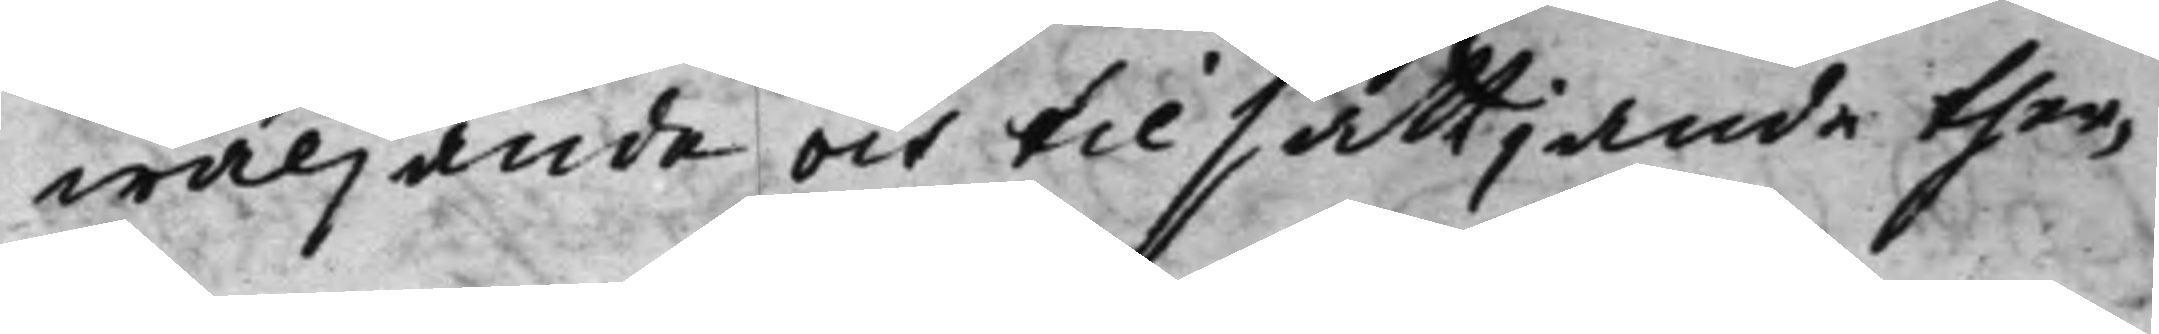wäljande och tilsättjande ther¬
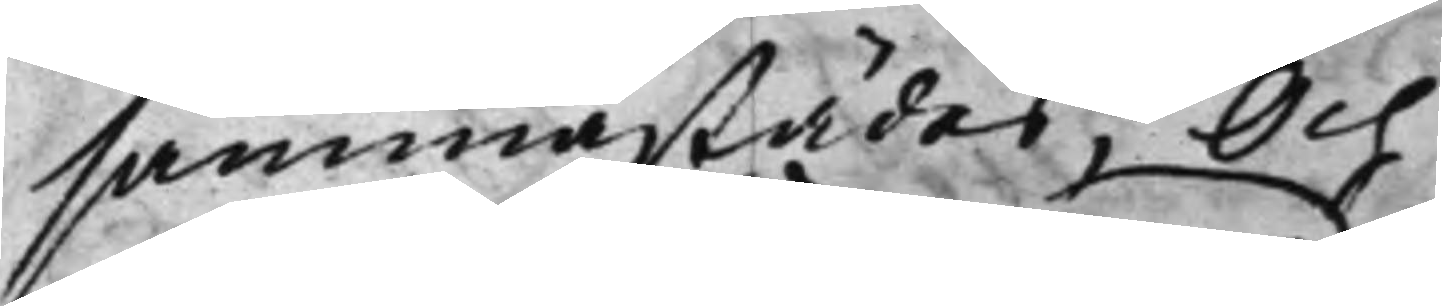sammastädes; Och
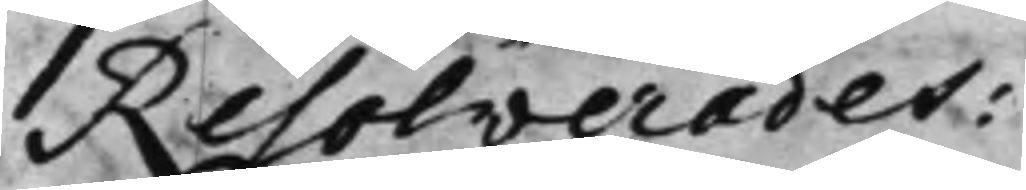Resolverades:
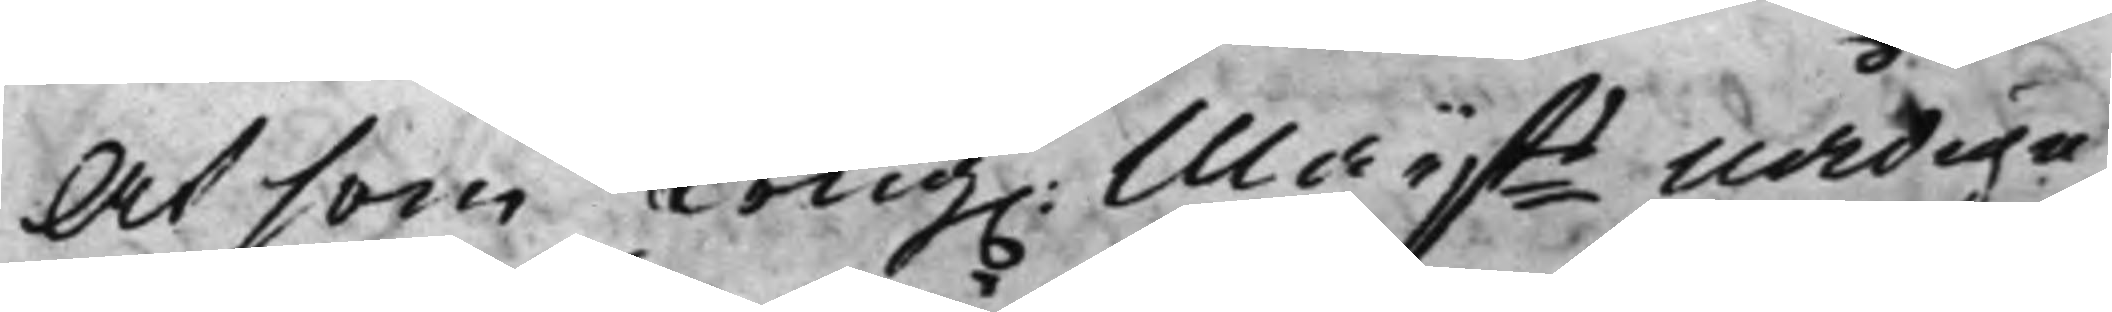At som Kong. Maijts Nådiga
